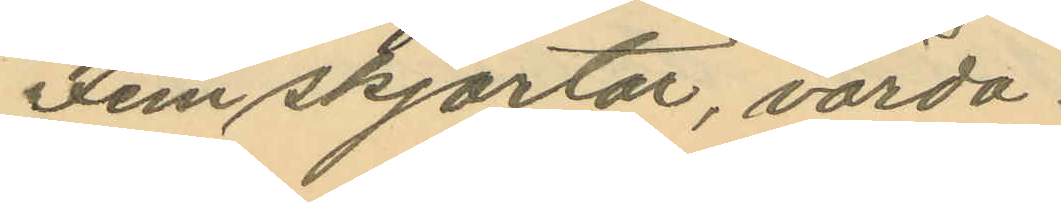Fem skjortor, värda
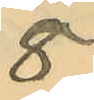8
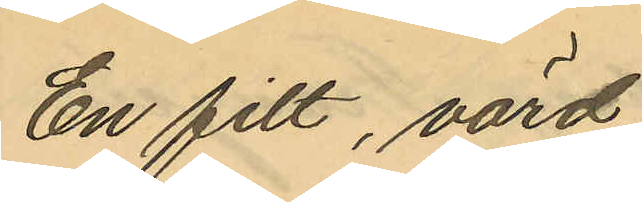En filt, värd
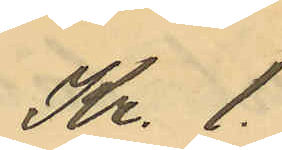Kr. 1
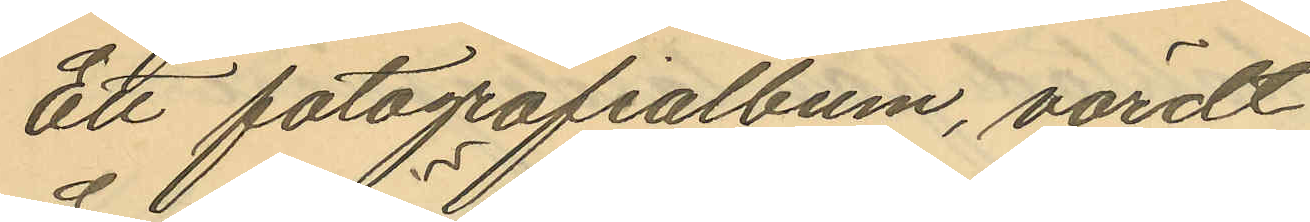Ett fotografialbum, värdt
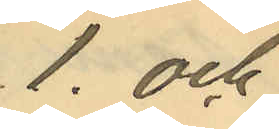1. och
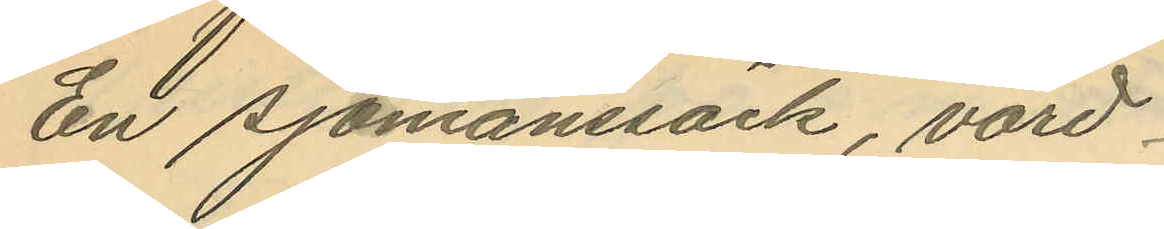En sjömanssäck, värd
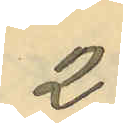2.
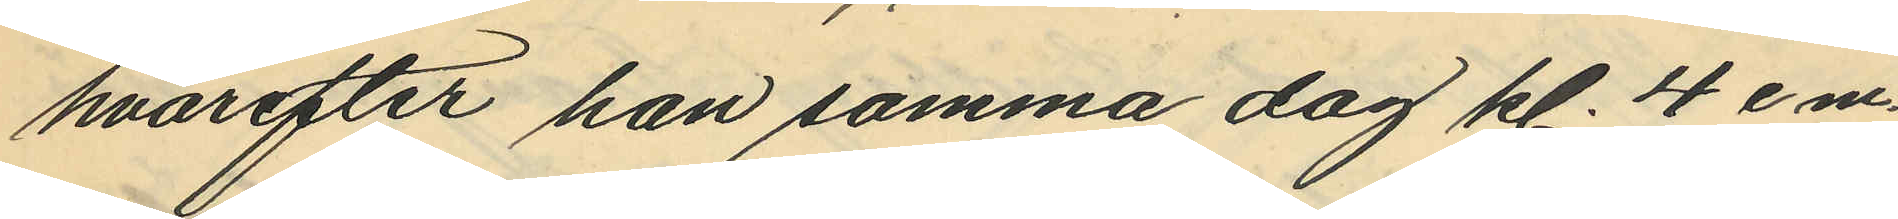hvarefter han samma dag kl. 4 e m.
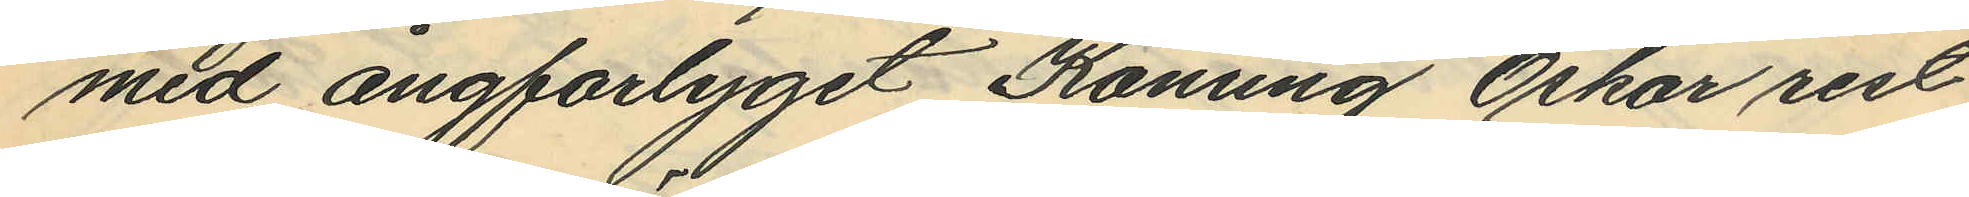med ångfartyget Konung Oskar rest
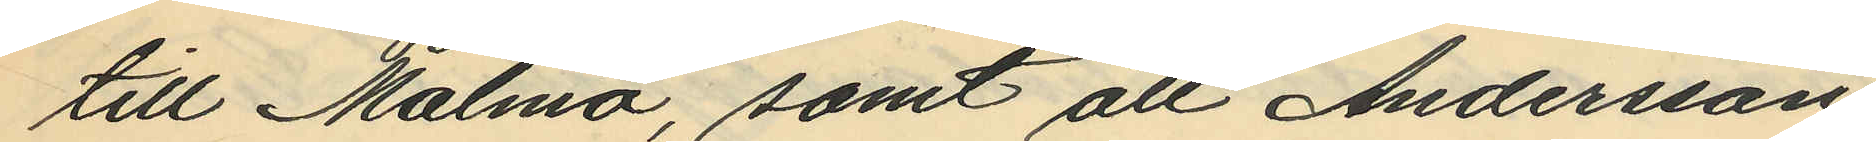till Malmö, samt att Andersson
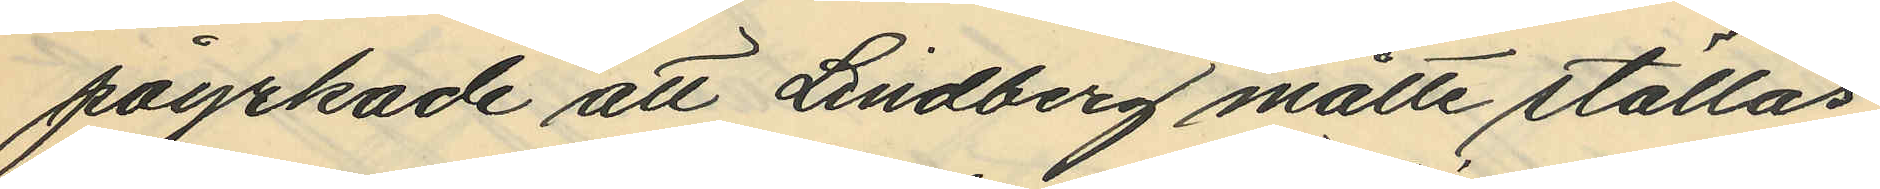påyrkade att Lindberg måtte ställas
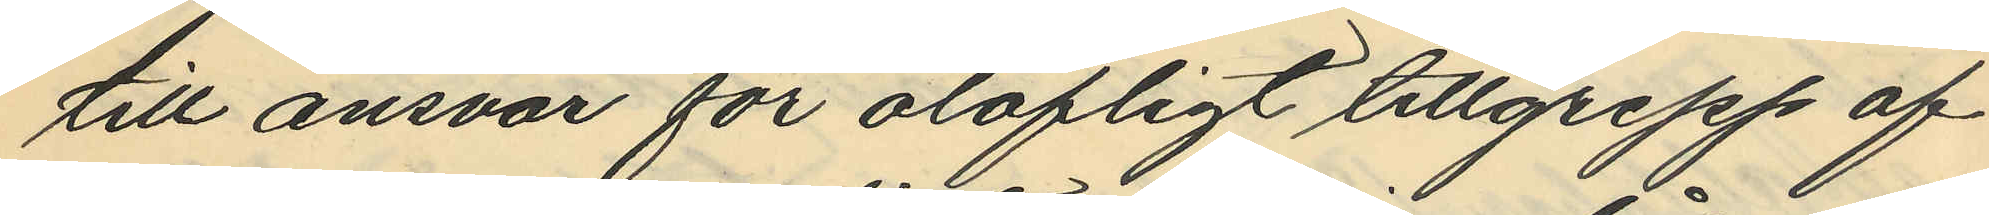till ansvar för olofligt tillgrepp af
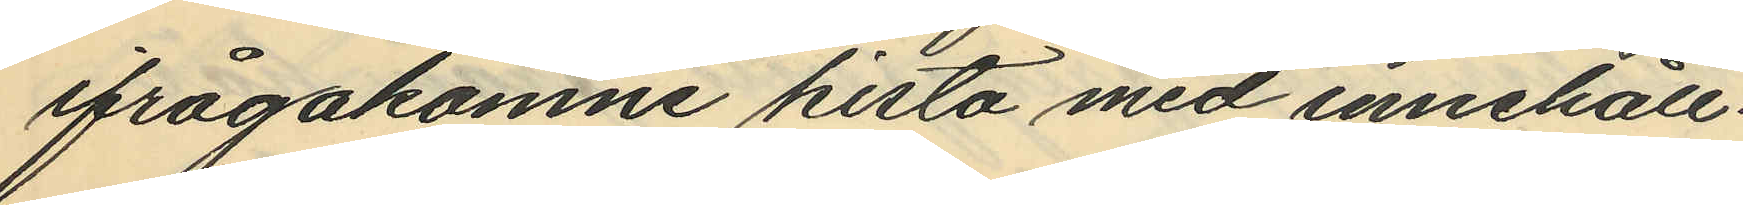ifrågakomne kista med innehåll.
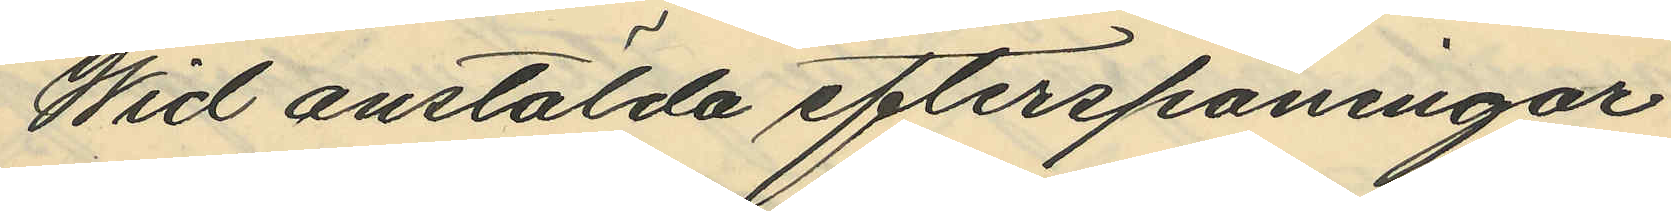Wid anstälda efterspaningar
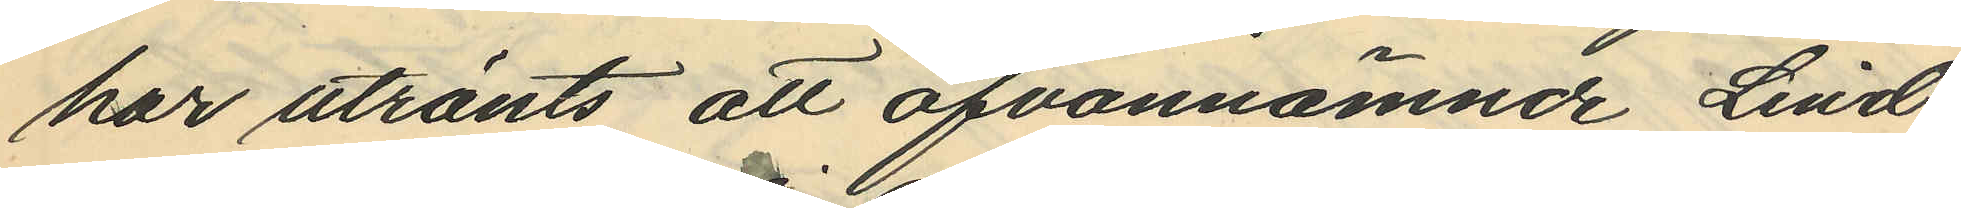har utränts att ofvannämnde Lind¬
